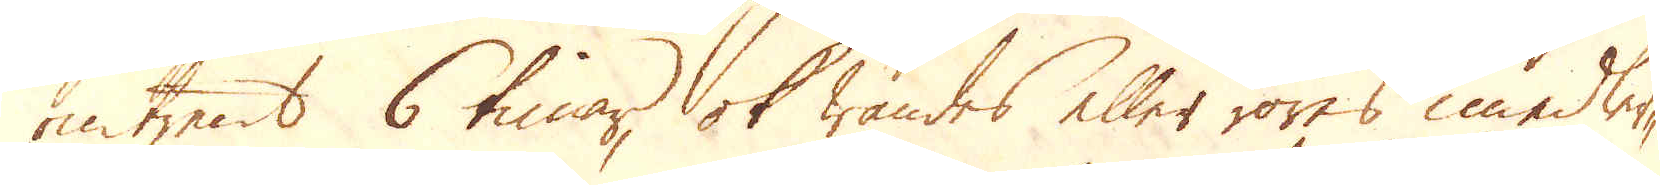omtrent 6 timar, ok wändes eller röres imedler-
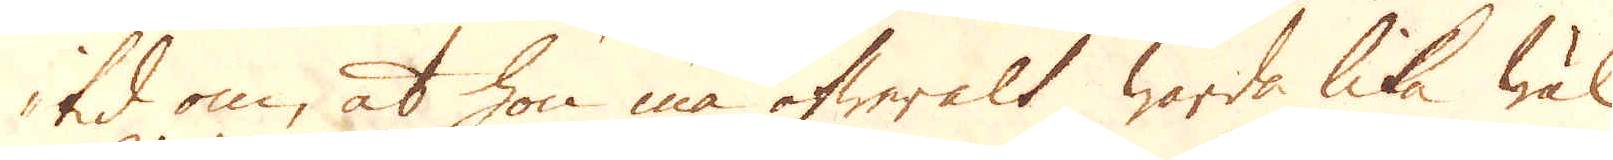tid om, at hon må öfweralt warda lika wäl
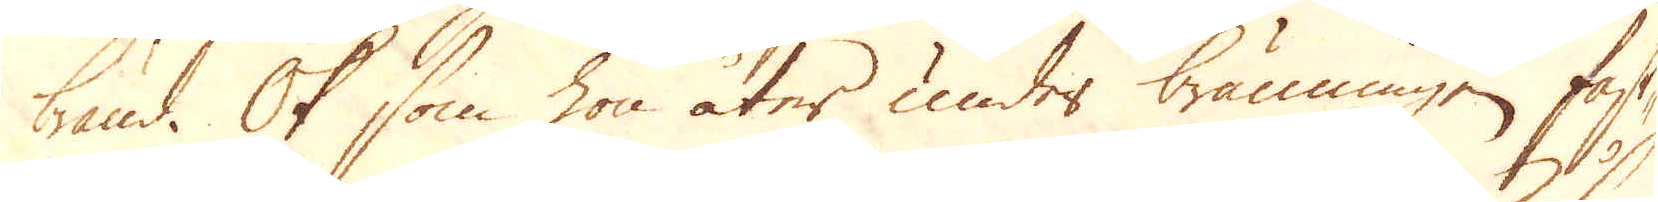bränd. Ok som hon åter under bränningen fast-
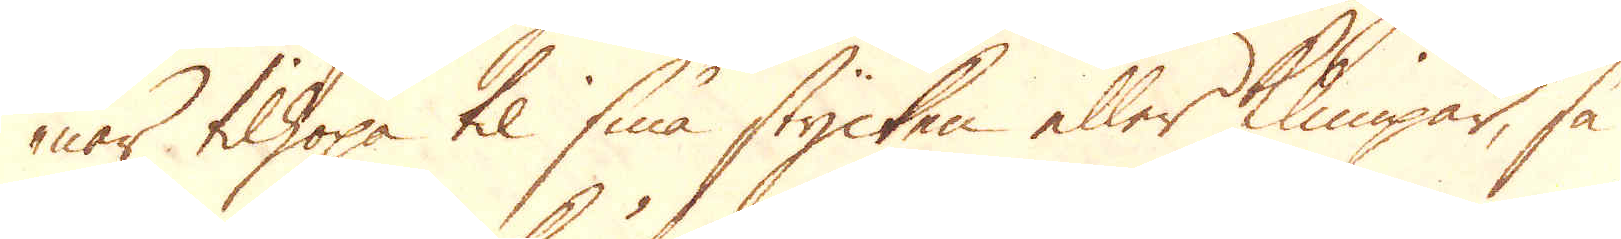nar tilhopa til små stycken eller klimpar, så
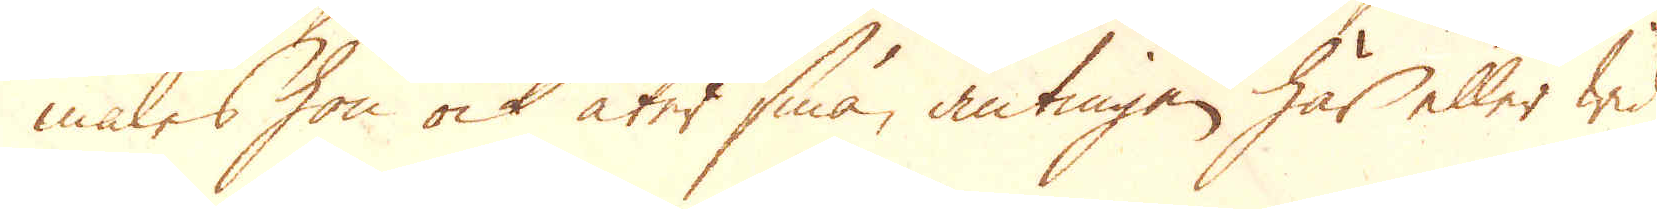males hon ock åter små, antingen här eller wid
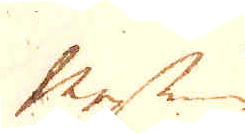Messing
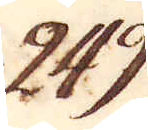249.
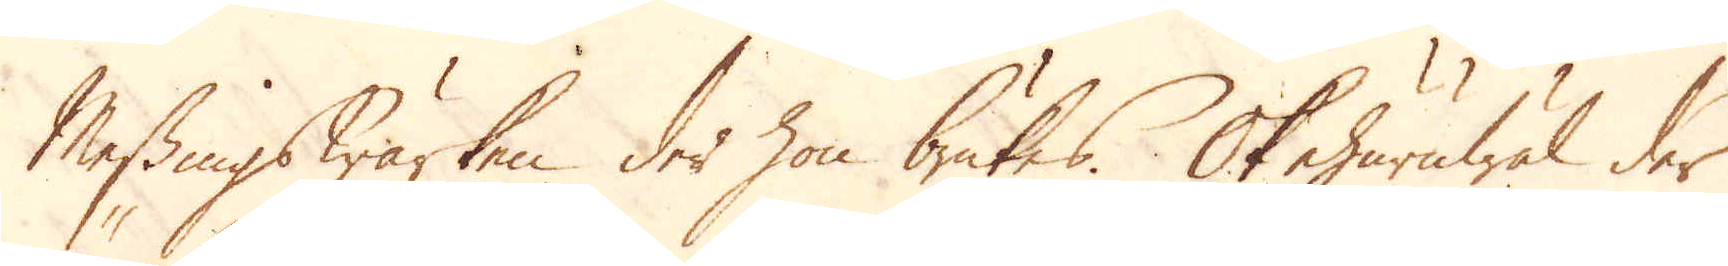Messingswärken der hon brukas. Ok ehuruwäl der
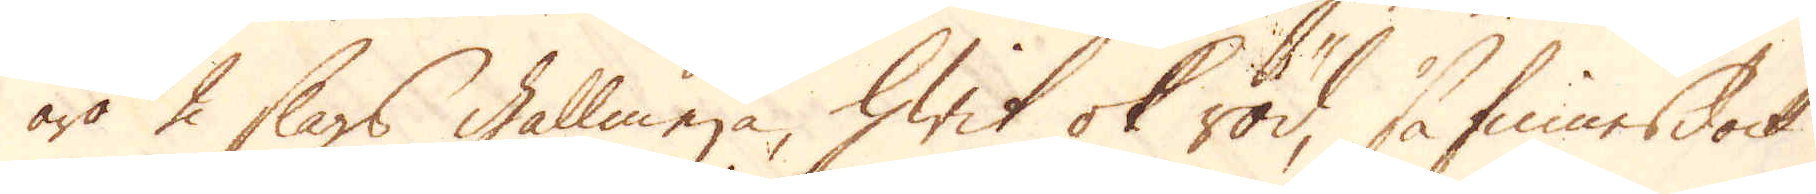äro 2 slags gallmera, hwit ok röd, så finnes dock
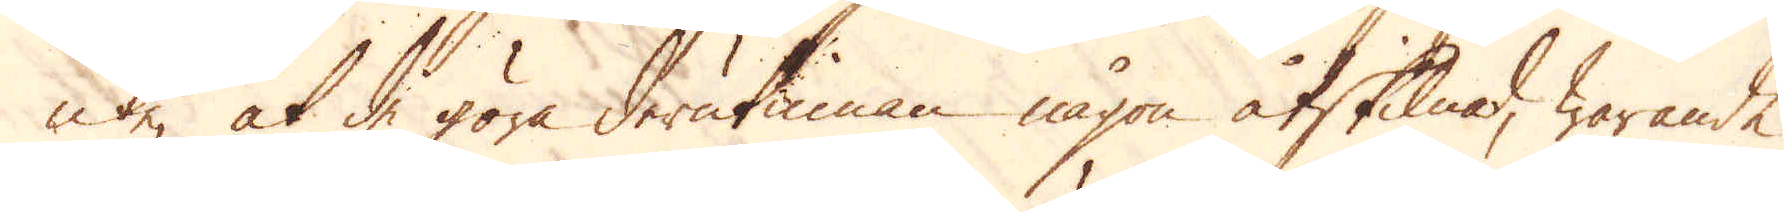icke, at de göra derutinnan någon åtskilnad, warande
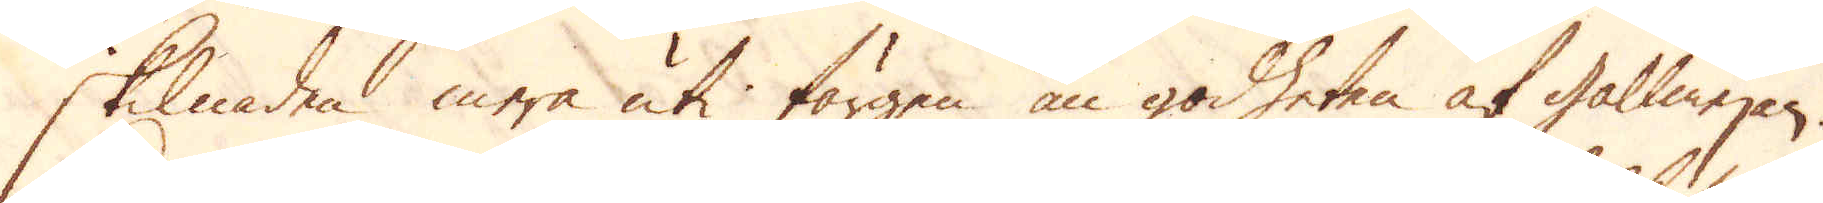skillnaden mera uti färgen än godheten af gallmejan.
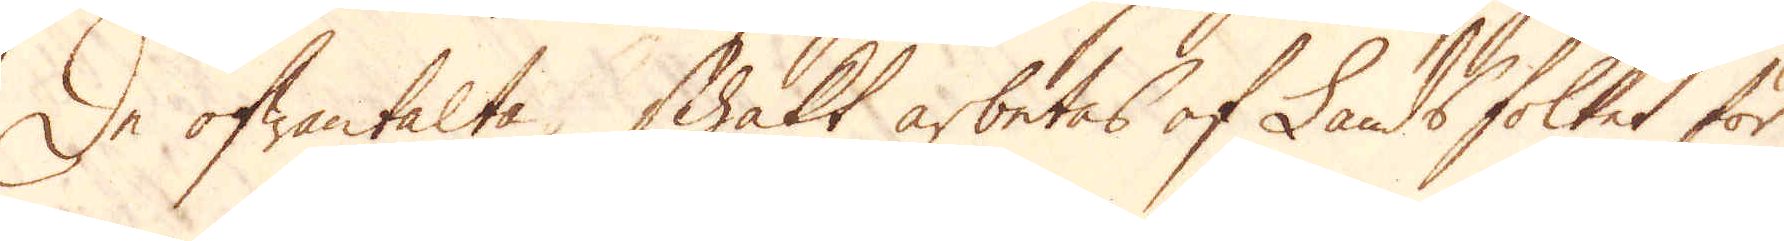De ofwantalte schakt arbetas af Landsfolket för
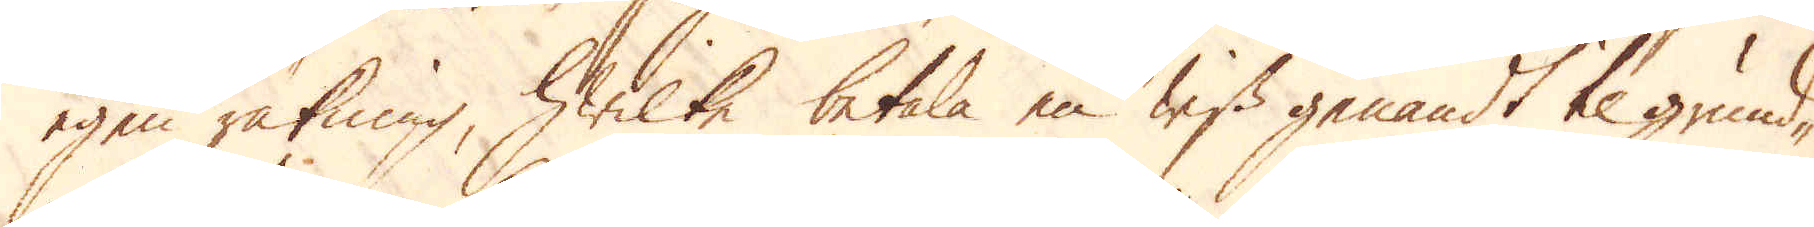egen räkning, hwilke betala en wiss genandt til grund-
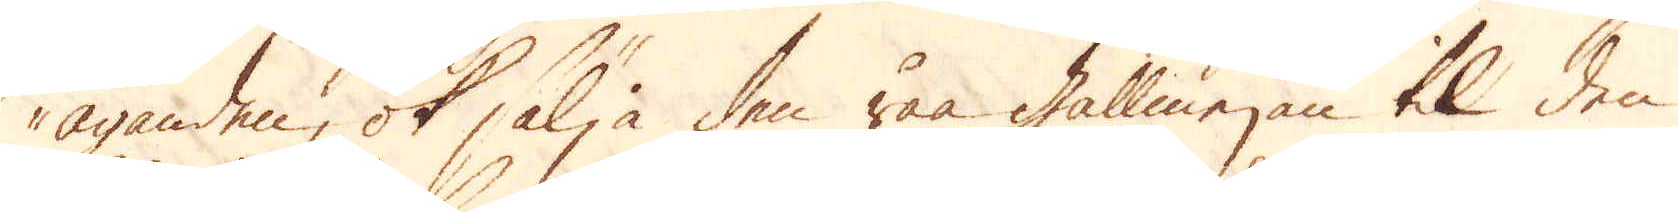äganden, ok sälja den råa gallmejan til den
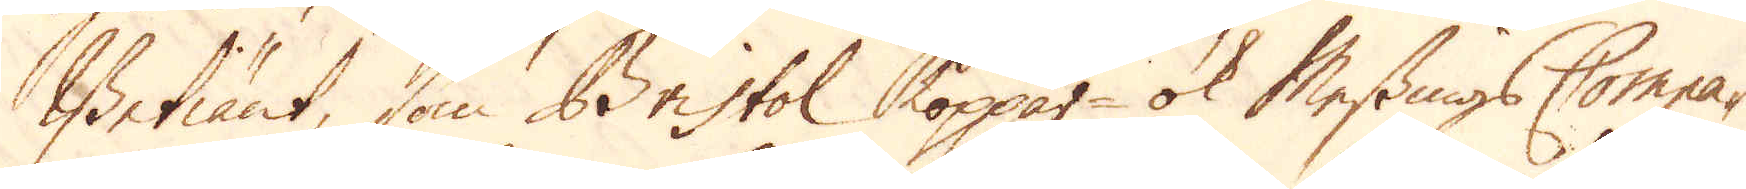Betiänt, som Bristol koppar- ok Messings Compa-
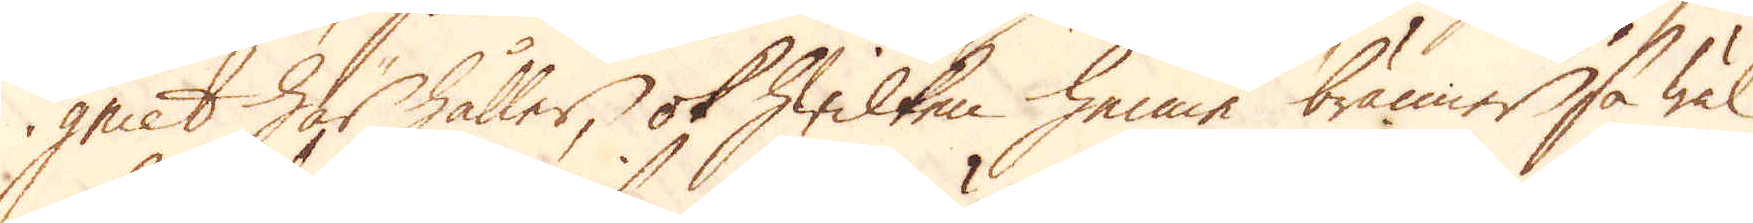gniet här håller, ok hwilken henne bränner, så wäl
